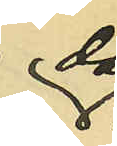då
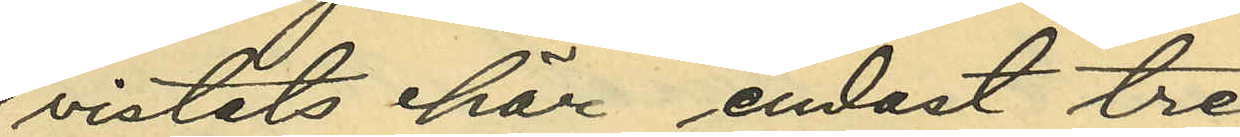vistats här endast tre
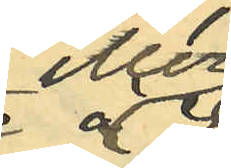eller
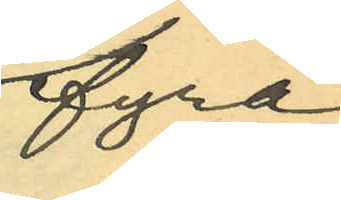fyra
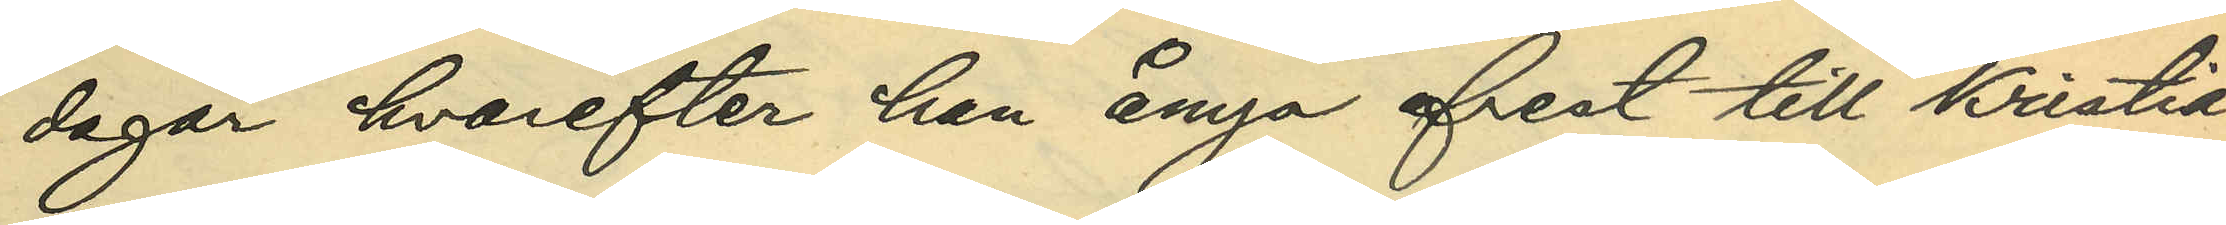dagar hvarefter han ånyo afrest till Kristia¬
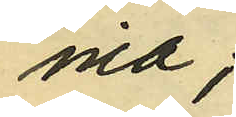nia;
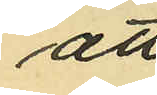att
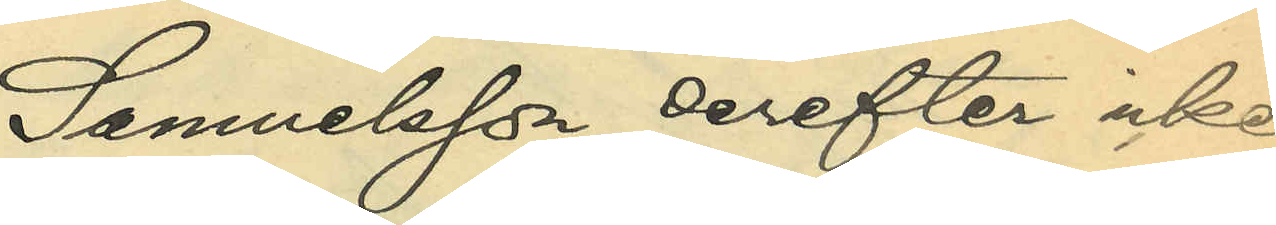Samuelsson derefter icke
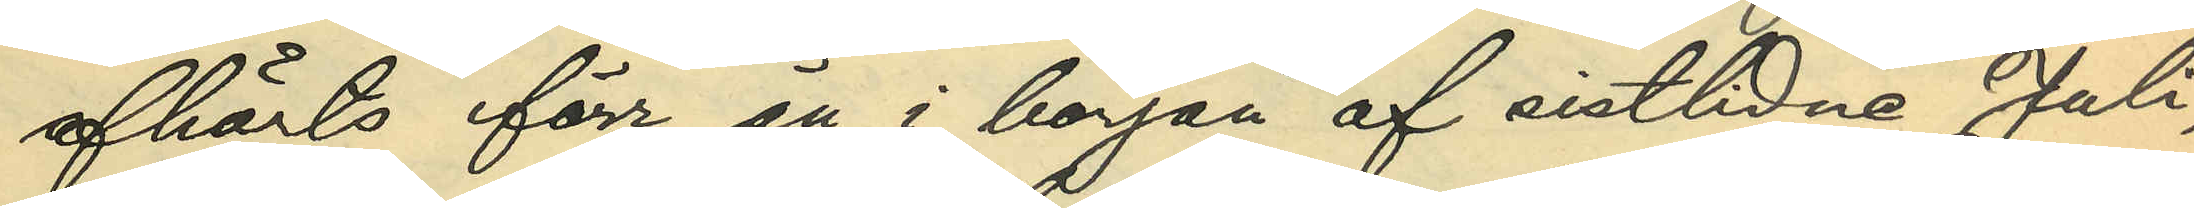afhörts förr än i början af sistlidne Juli,
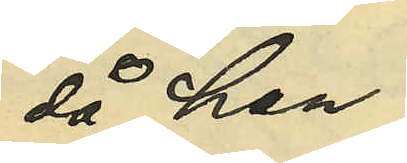då han
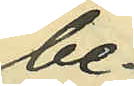be¬
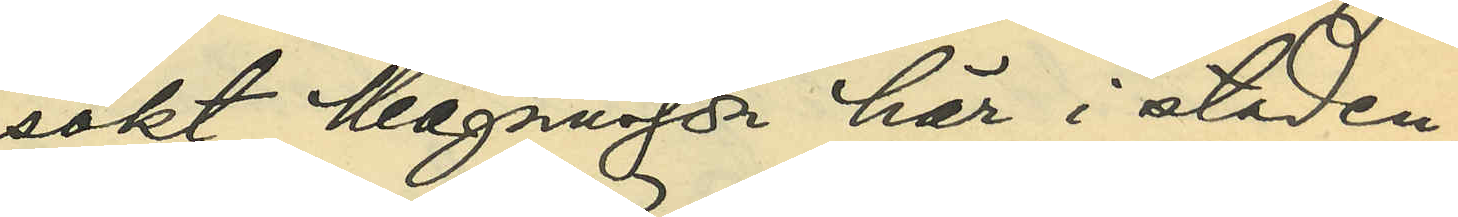sökt Magnusson här i staden;
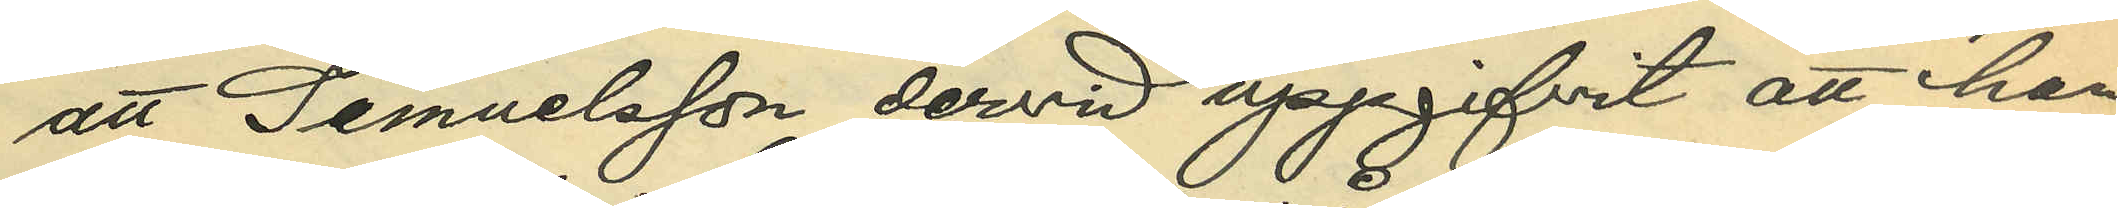att Samuelsson dervid uppgifvit att han
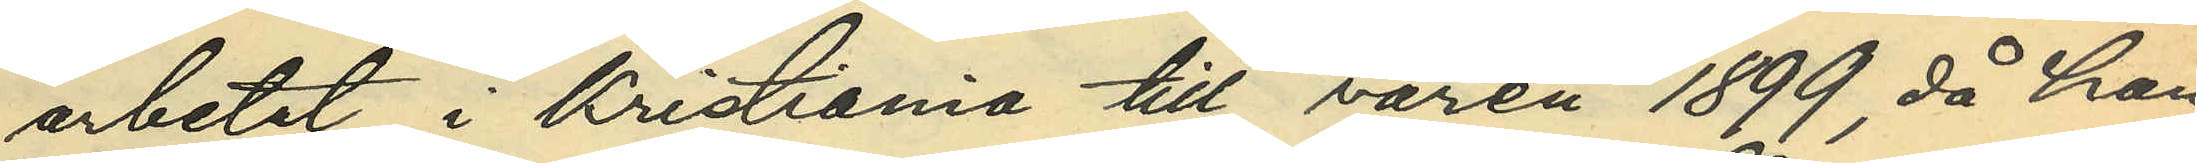arbetat i Kristiania till våren 1899, då han
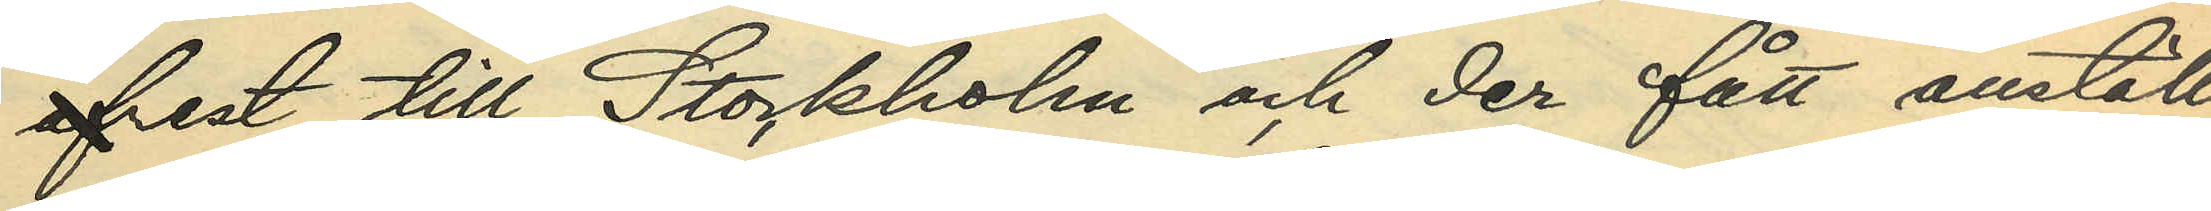afrest till Stockholm och der fått anställ¬
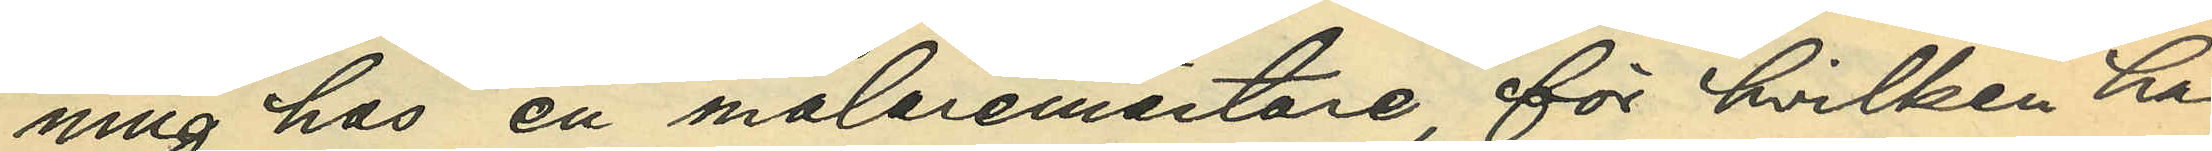ning hos en målaremästare för hvilken han
